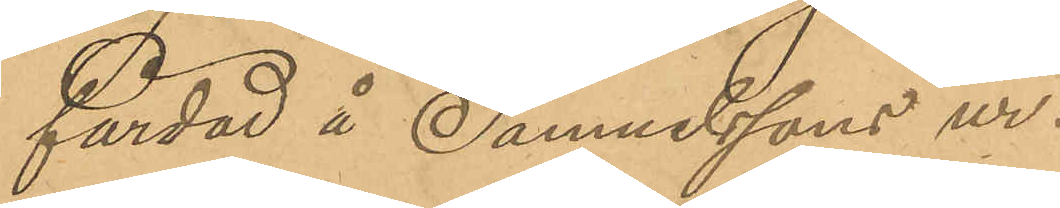färdad å Samuelssons ur.
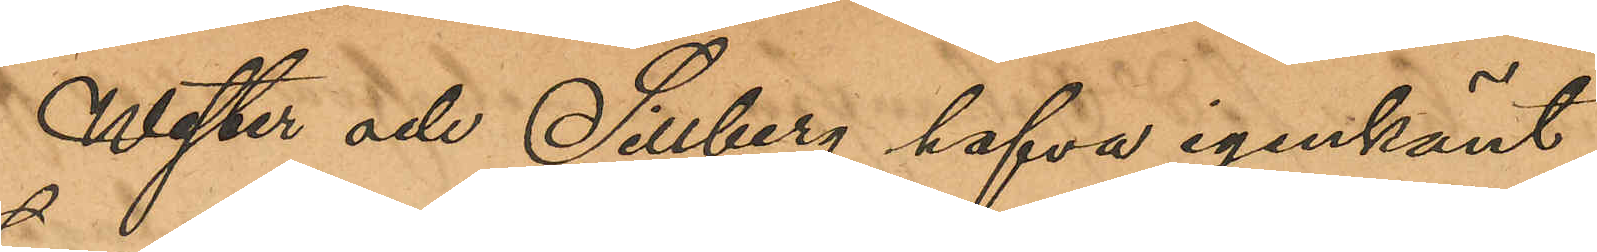Wester och Sillberg hafva igenkänt
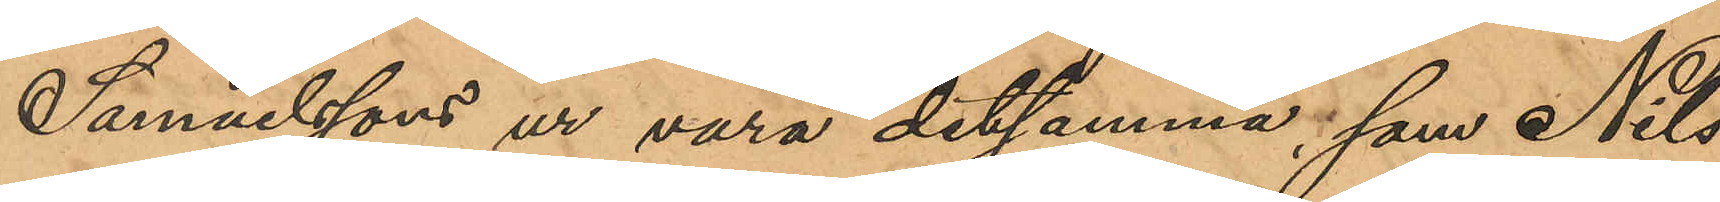Samuelssons ur vara detsamma, som Nils
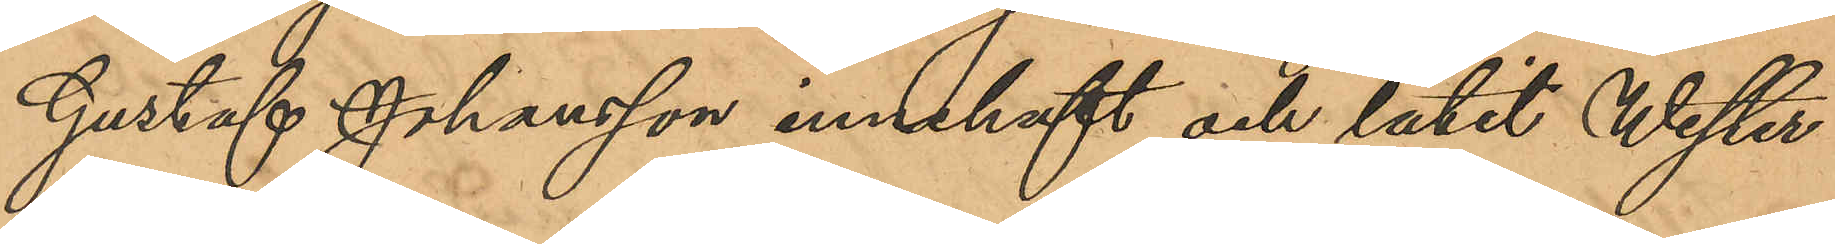Gustaf Johansson innehaft och låtit Wester
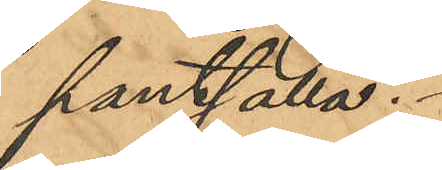pantsätta.
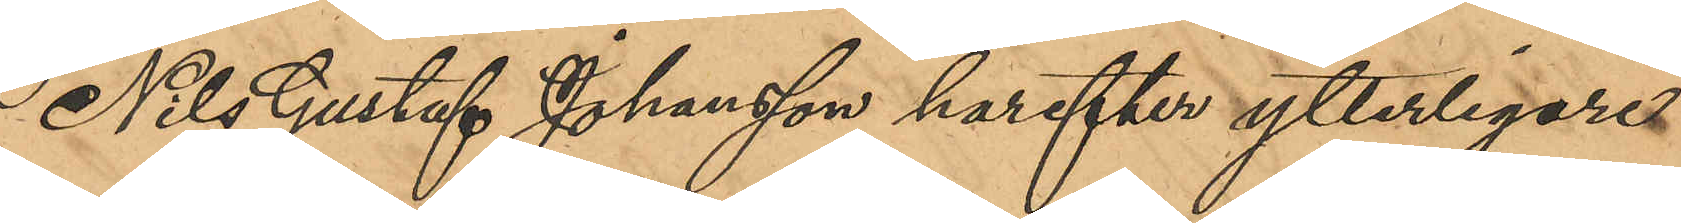Nils Gustaf Johansson harefter ytterligare
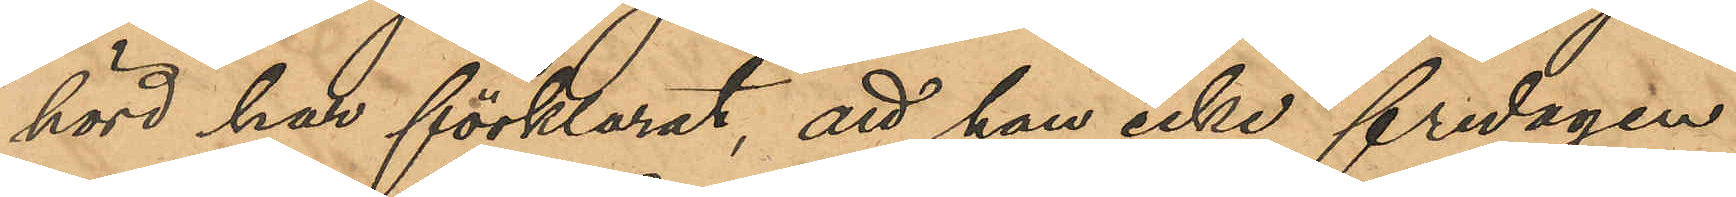hörd har förklarat, att han icke fredagen
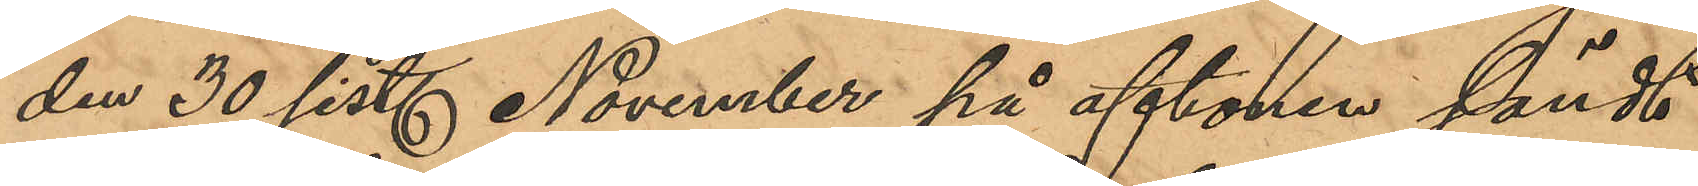den 30 sist. November på aftonen sändt
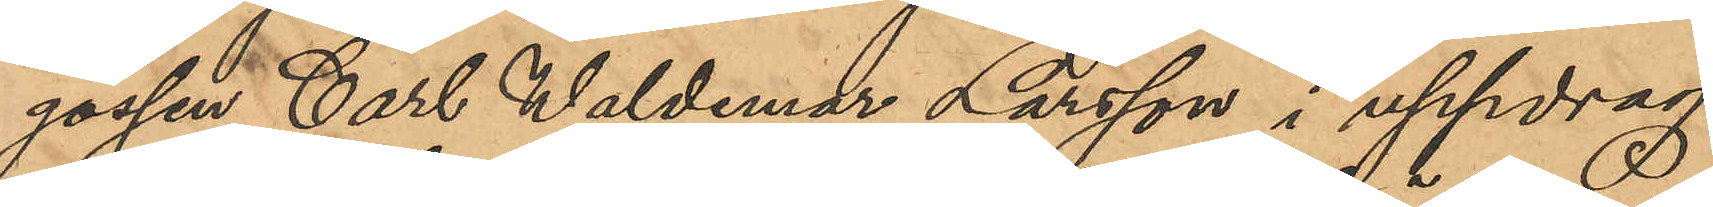gossen Carl Waldemar Larsson i uppdrag
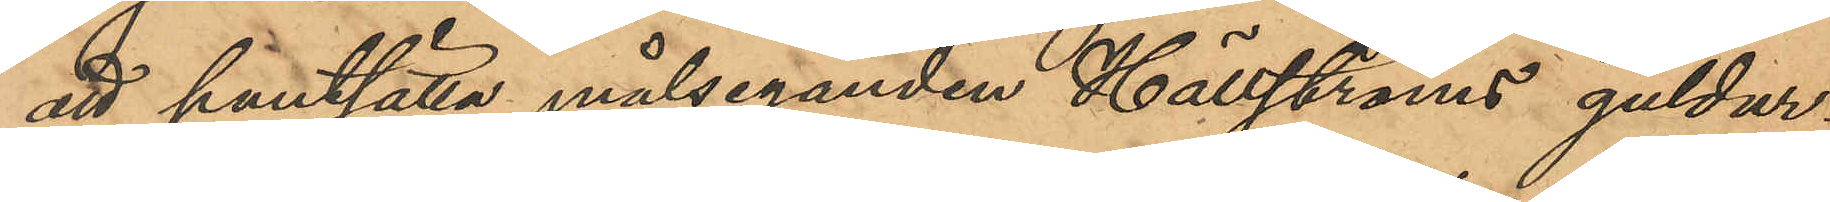att pantsätta målseganden Hällströms guldur;
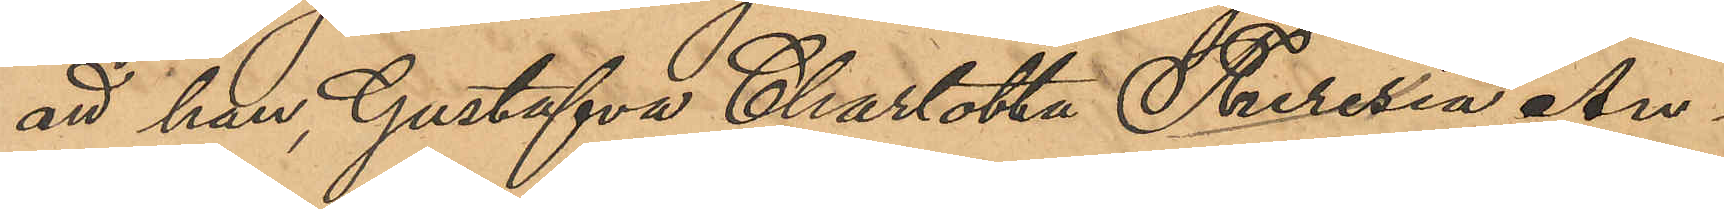att han, Gustafva Charlotta Theresia An¬
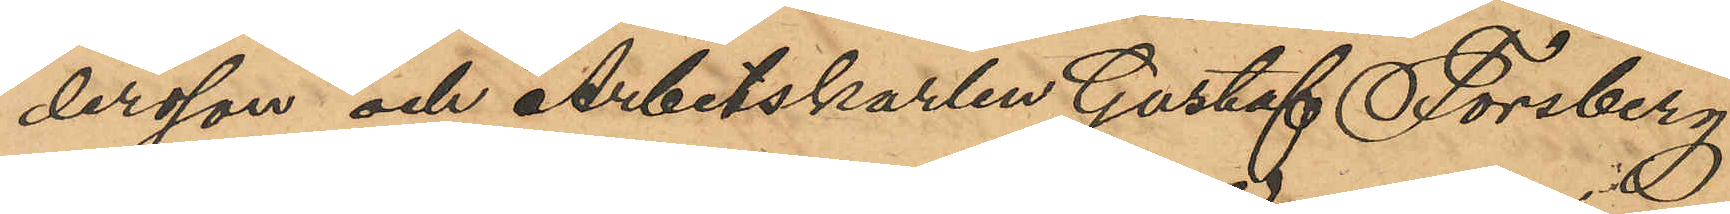dersson och Arbetskarlen Gustaf Forsberg
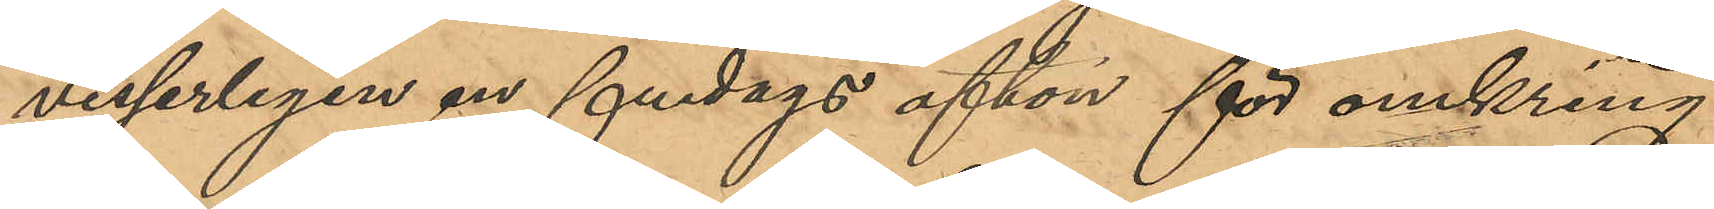visserligen en fredags afton för omkring
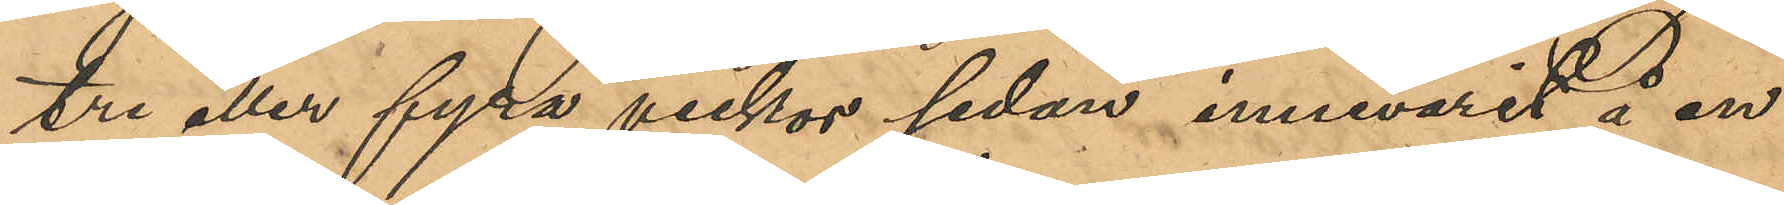tre eller fyra veckor sedan innevarit å en
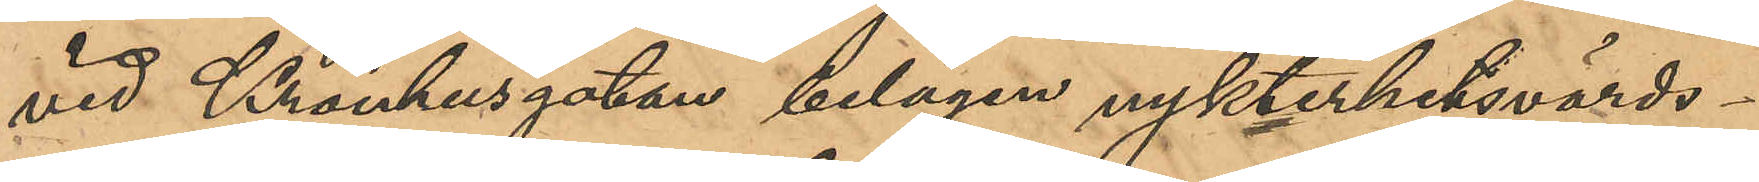vid Kronhusgatan belägen nykterhetsvärds¬
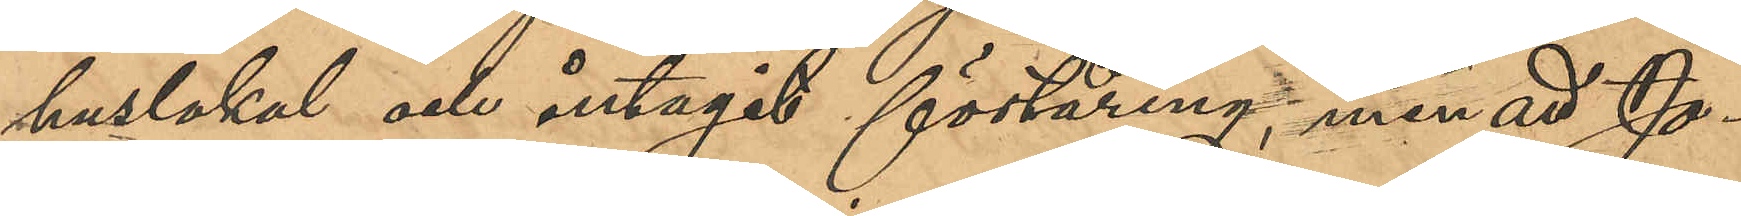huslokal och intagit förtäring, men att Jo¬
